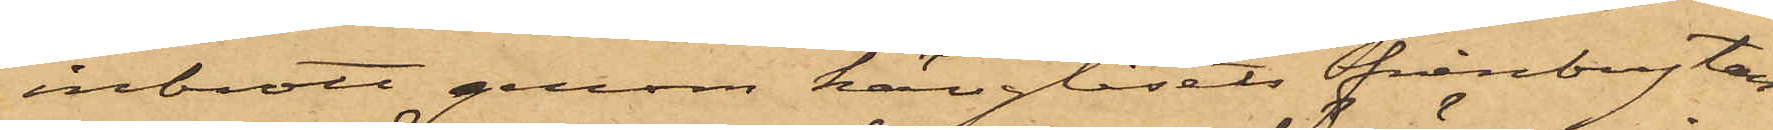inbrott genom hänglåsets frånbrytan¬
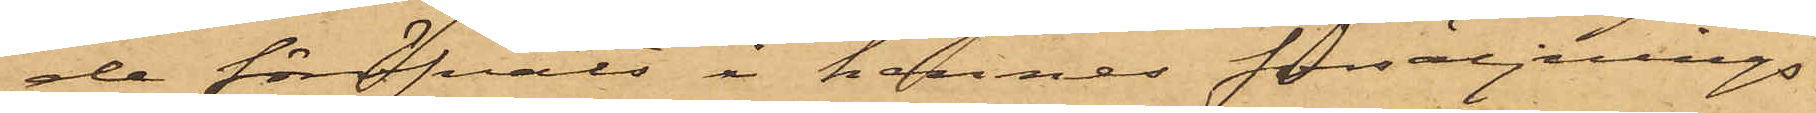de föröfvats i hennes försäljnings¬
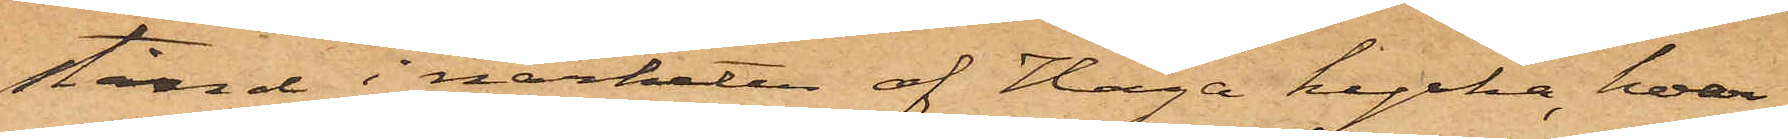stånd i närheten af Haga kyrka, hvar¬
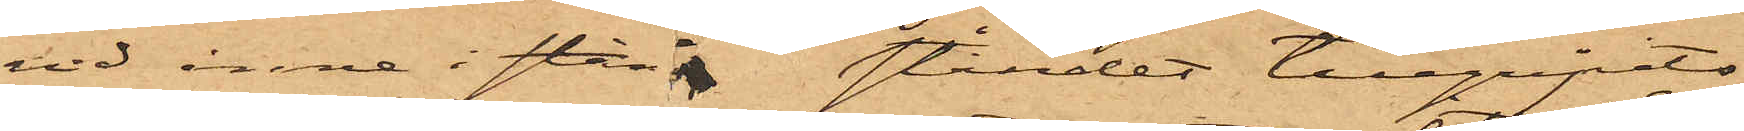vid inne i stån ståndet tillgripits
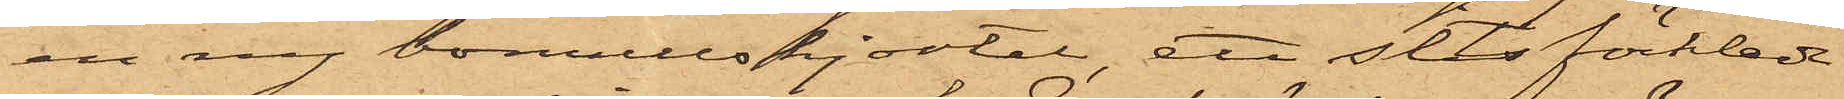en ny bomullskjortel, ett sitsförkläde
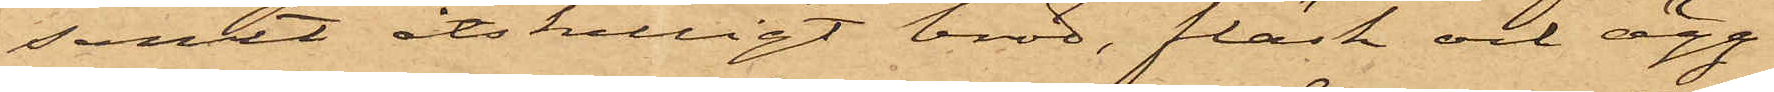samt åtskilligt bröd, fläsk och ägg.
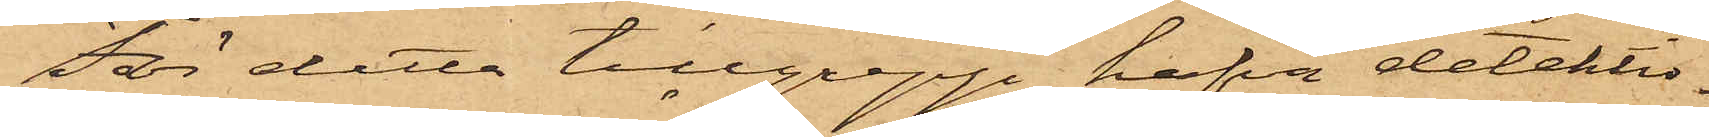För detta tillgrepp hafva detektiv¬
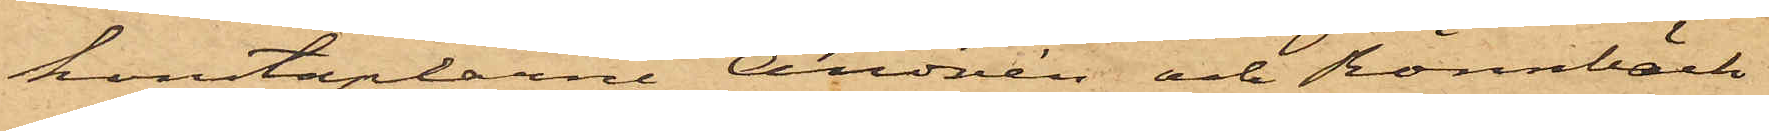konstaplarne Andrén och Rönnbäck
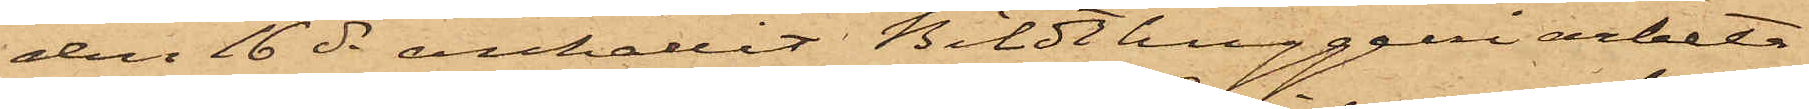den 16 ds anhållit Bildthuggeriarbeta¬
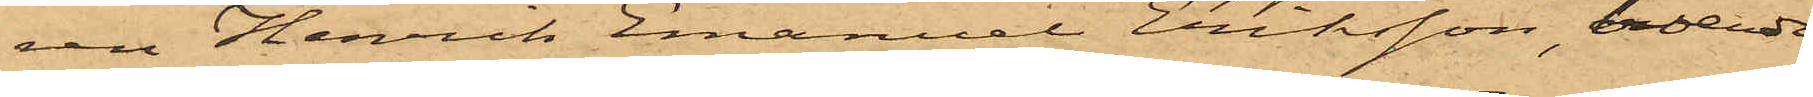ren Henrik Emanuel Eriksson, boende
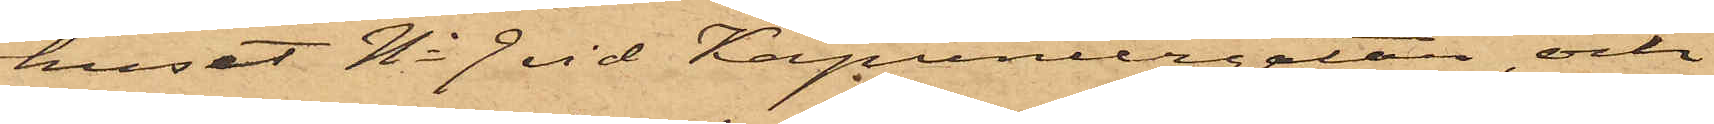i huset No 9 vid Kapuniergatan, och
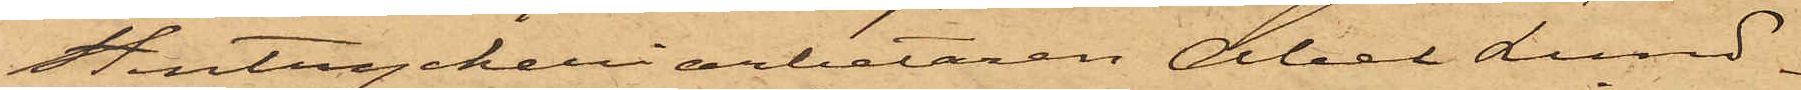Stentryckeriarbetaren Abel Lund¬
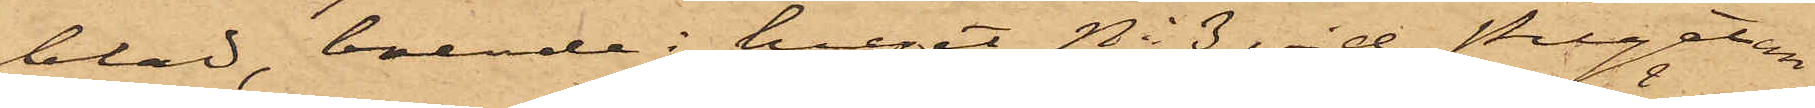blad, boende i huset No 3 vid Pilgatan,
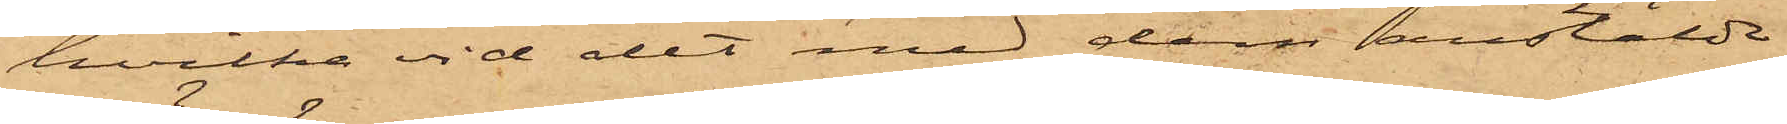hvilka vid det med dem anstälde
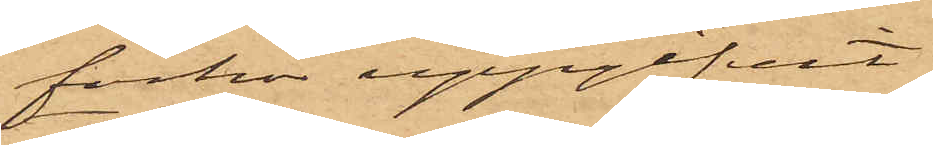förhör uppgifvit:
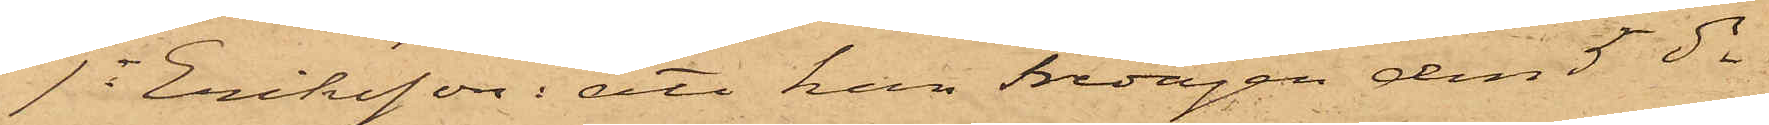1o Eriksson: att han Fredagen den 5 ds
